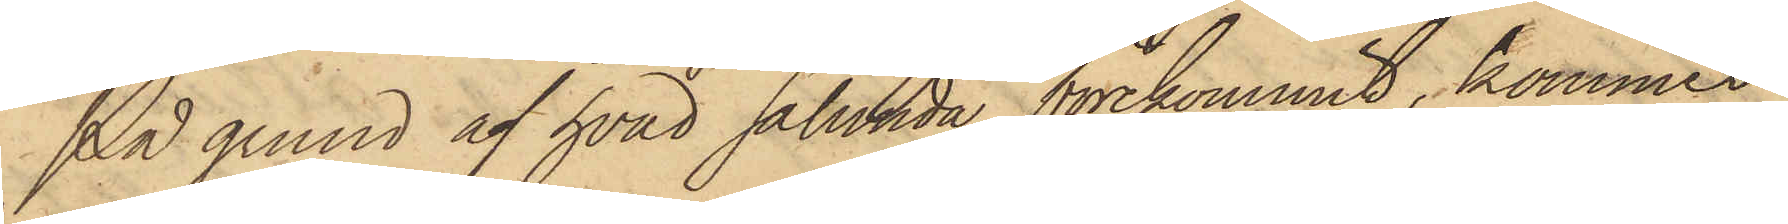På grund af hvad sålunda förekommit, kommer
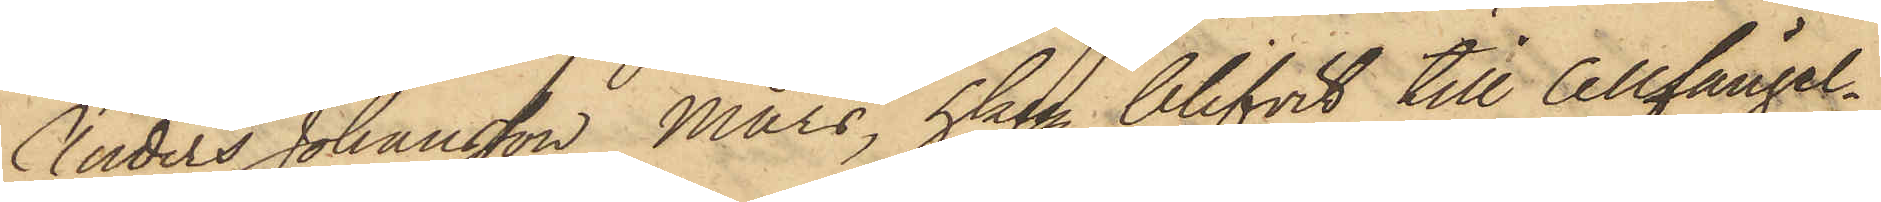Anders Johansson Mars, hken blifvit till Cellfängel¬
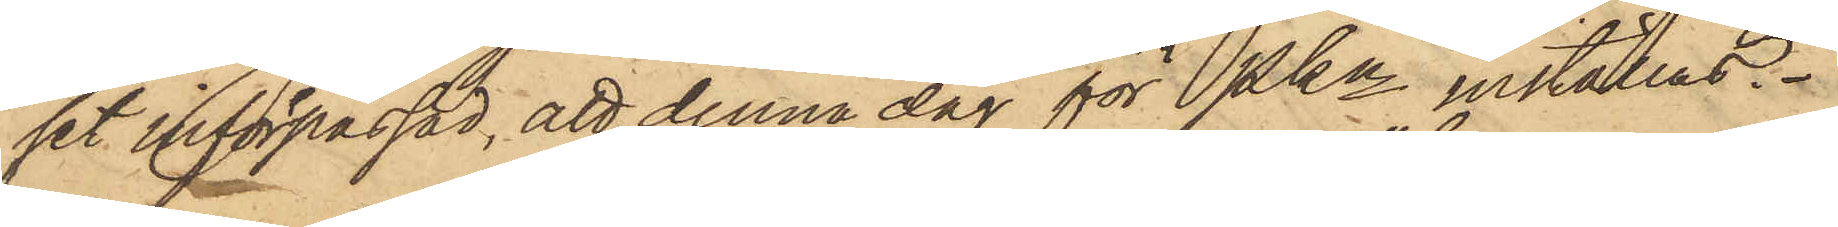set införpassad, att denna dag för Pkn inställas.
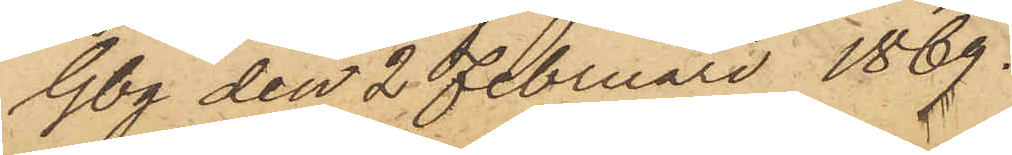Gbg den 2 Februari 1869.
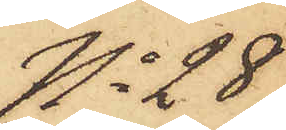No 28
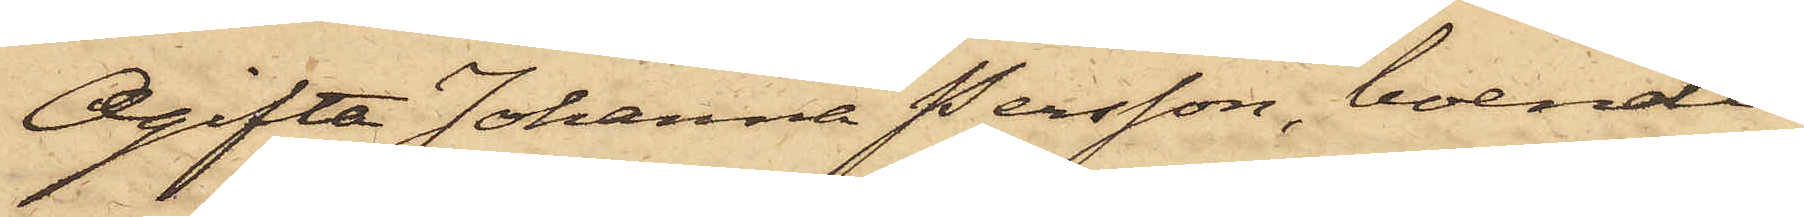Ogifta Johanna Persson, boende
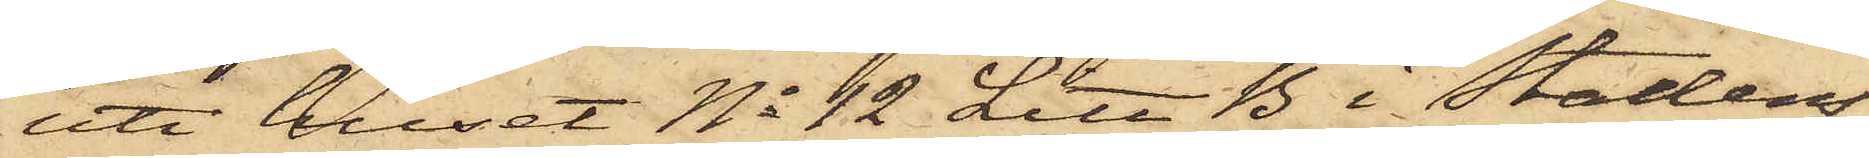uti huset No 12 Litt B i stadens
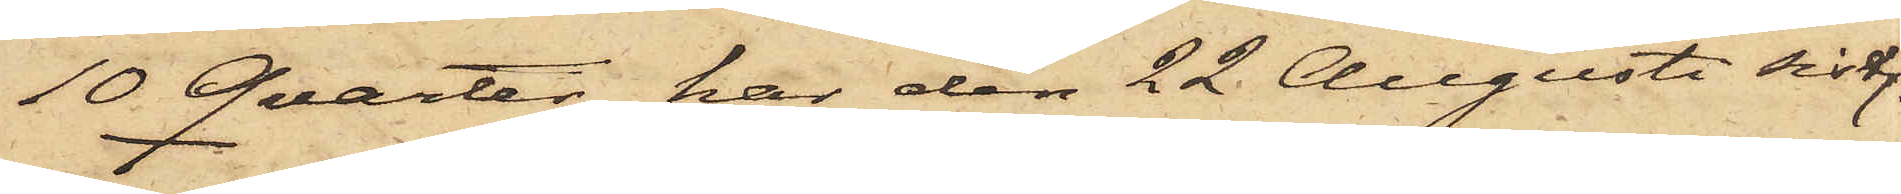10 Qvarter har den 22 Augusti sistl.
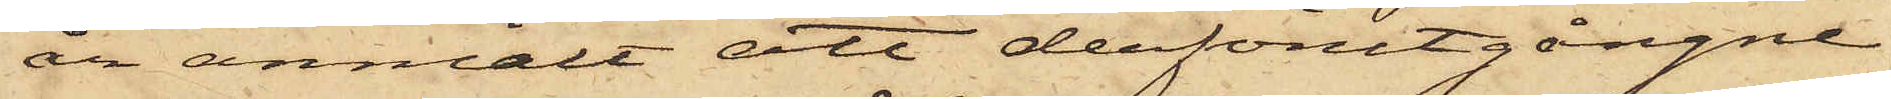år anmält att derförutgångne
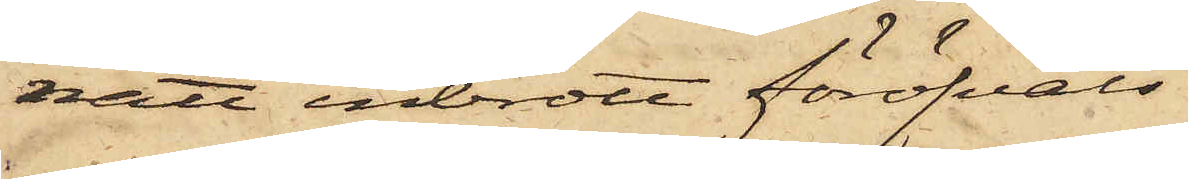natt inbrott föröfvats
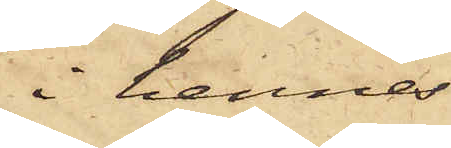i hennes
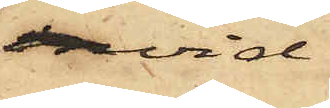invid
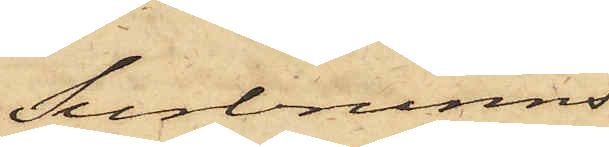Surbrunns¬
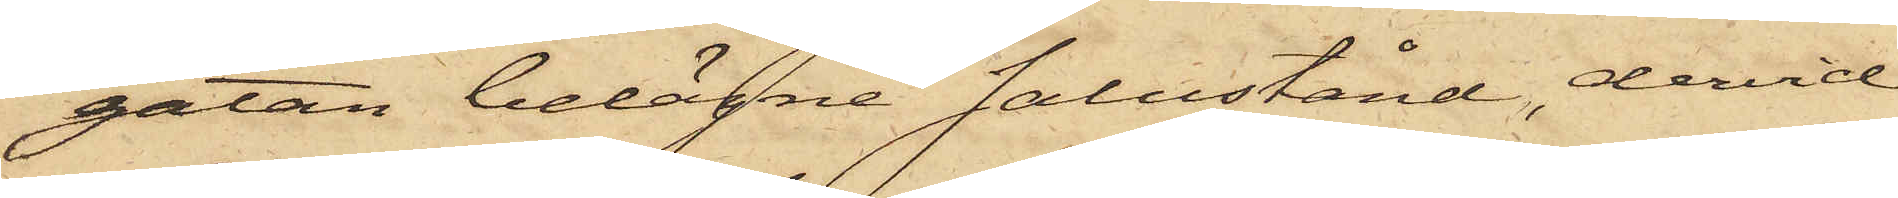gatan belägne salustånd, dervid
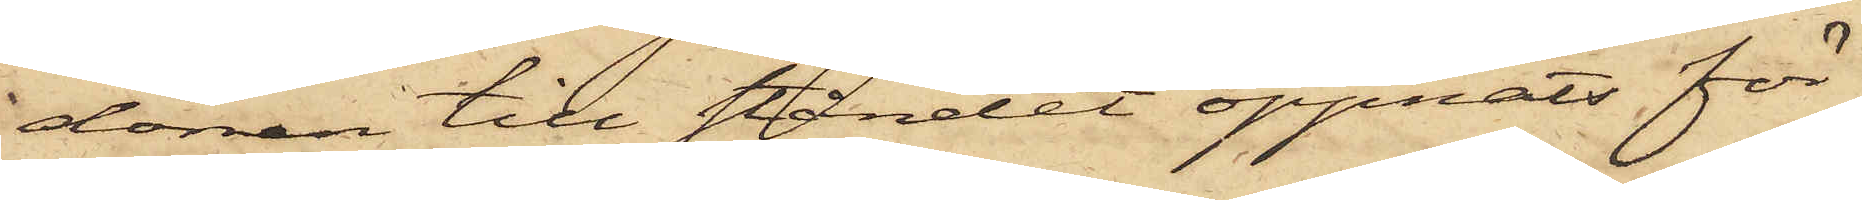dörren till ståndet öppnats för¬
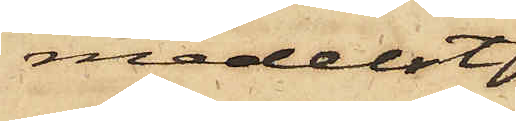medelst
